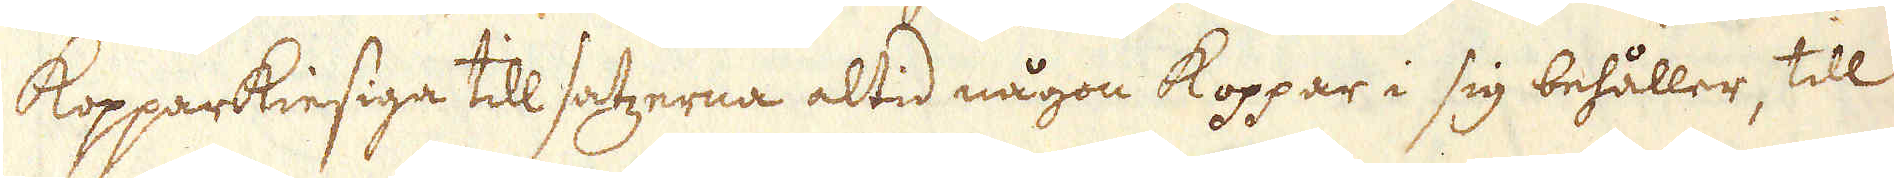Kopparkiesiga till satzerna altid någon koppar i sig behåller, till
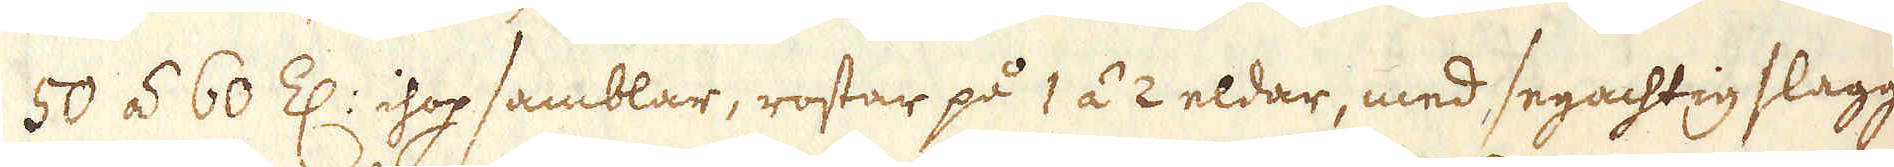50 á 60 Z: ihop samblar, rostar på 1 á 2 eldar, med segachtig slagg-
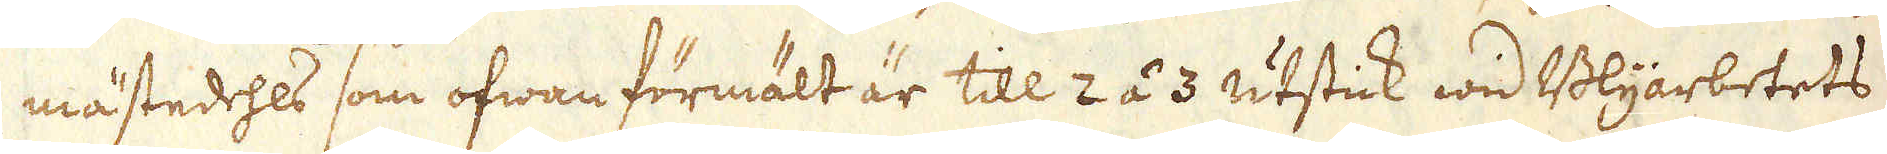mästedehls som ofwan förmält är till 2 á 3 utstick wid Blyarbetets
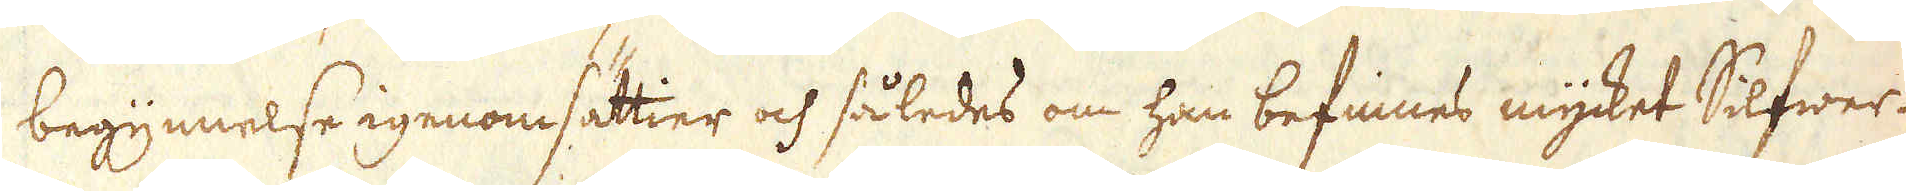begynnelse igenomsättier och således om han befinnes mycket Silfwer.
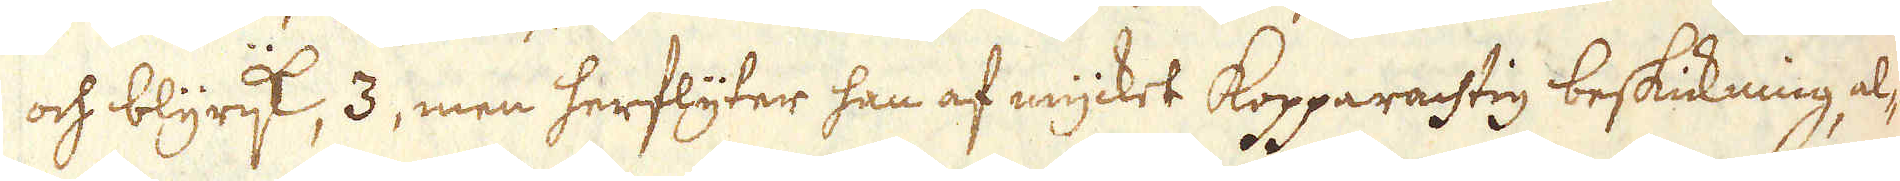och blyrjk, 3, men herflyter han af mycket kopparachtig beskickning al-
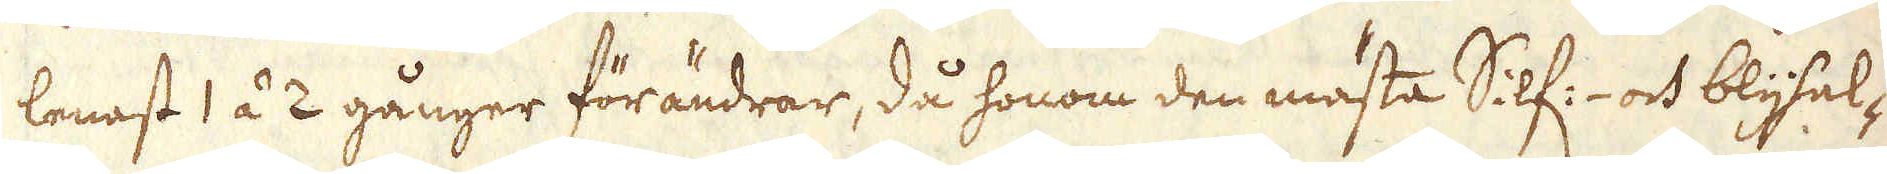lenast 1 á 2 gånger förändrar, då honom den mästa Silf:- och blyhal-
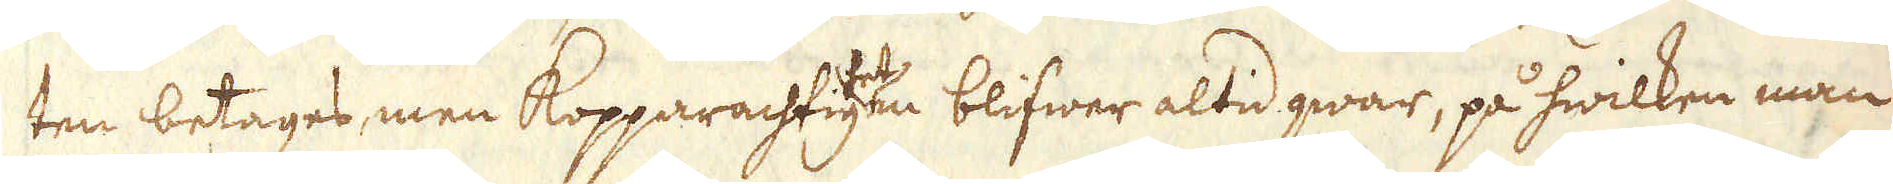ten betages, men Kopparachtigheten blifwer altid qwar, på hwilken man
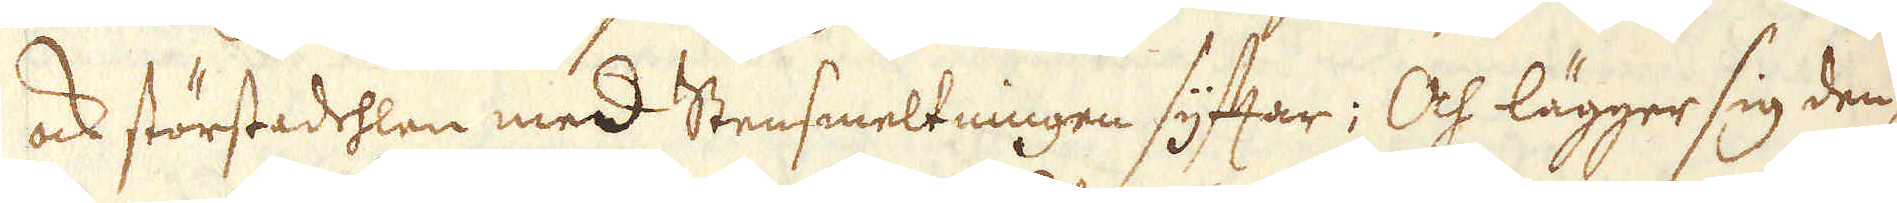ock störstadehlen med Stensmeltningen syftar; Och lägger sig den-
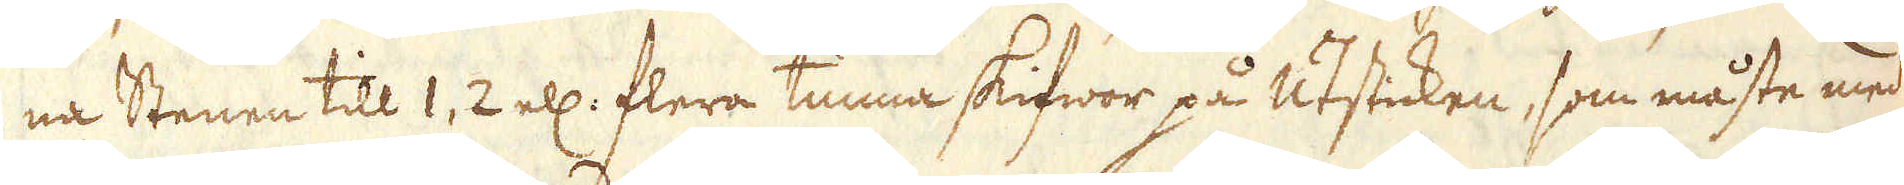na Stenen till 1, 2 ell: flera tunna skifwor på Utsticken, som måste med
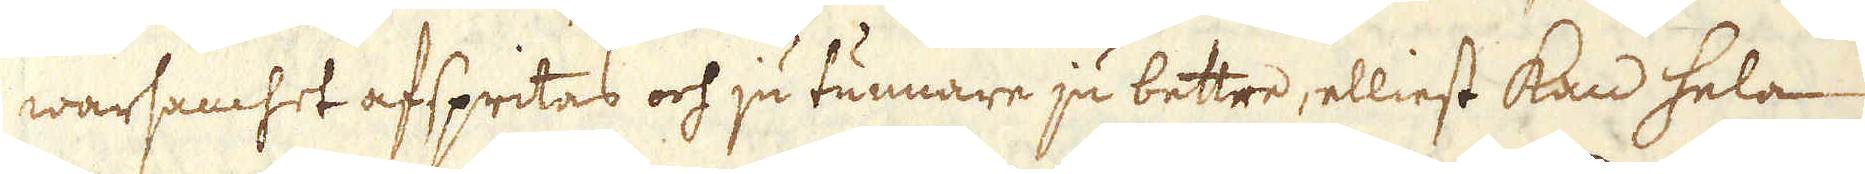warsamhet afspritas och ju tunnare ju bettre, elliest kan hela
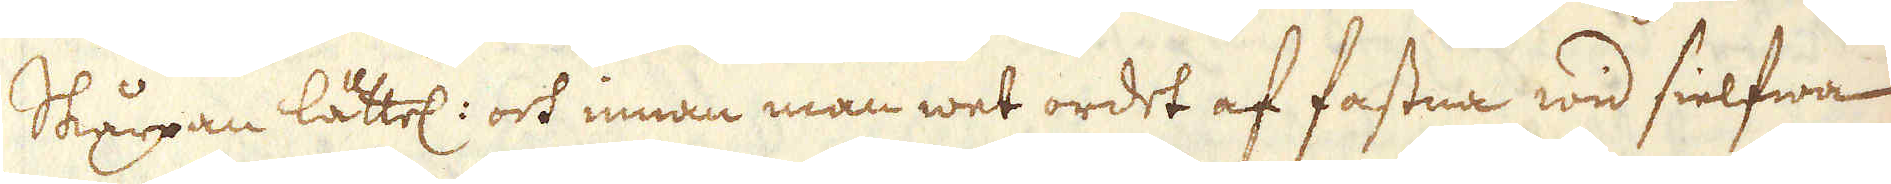Skårpan lättel: och innan man wet ordet af fastna wid sielfwa
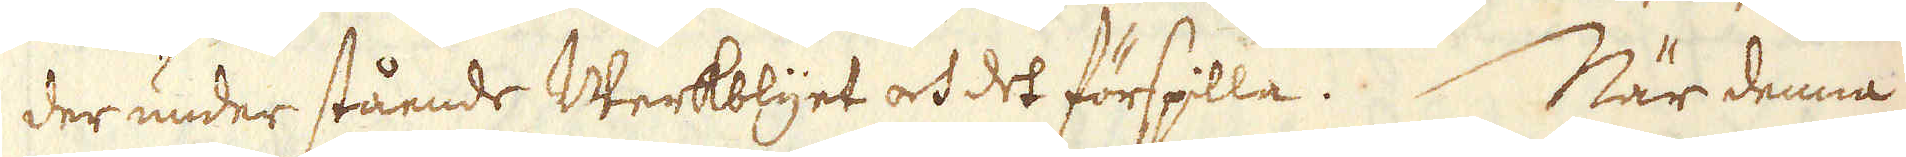der under stående Werkblyet och det förspilla. När denna
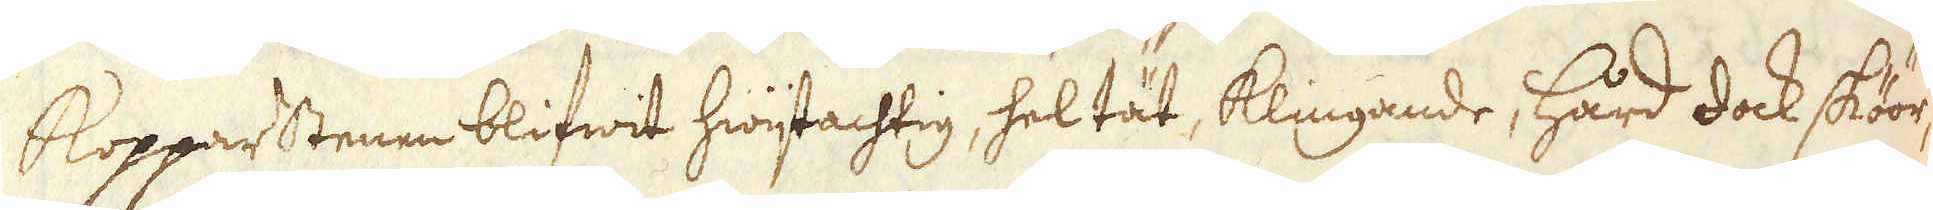Kopparstenen blifwit hwijtachtig, hel tät, klingande, hård dock sköör-
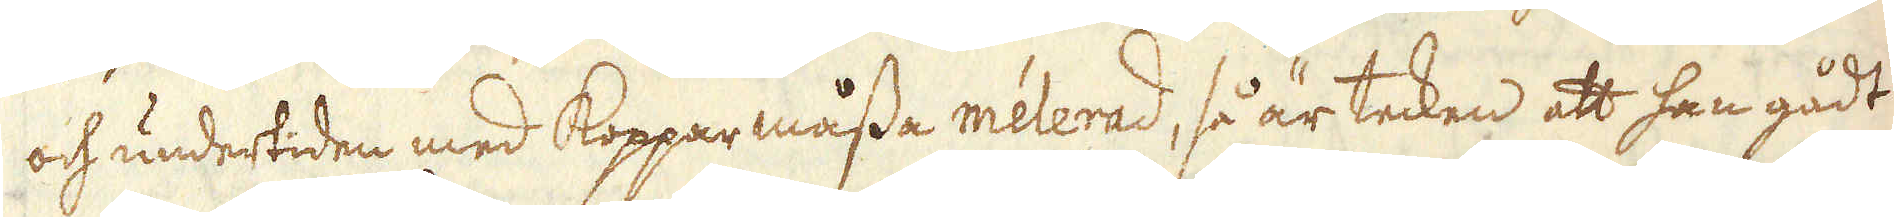och undertiden med Kopparmåssa melerad, så är tecken att han gådt
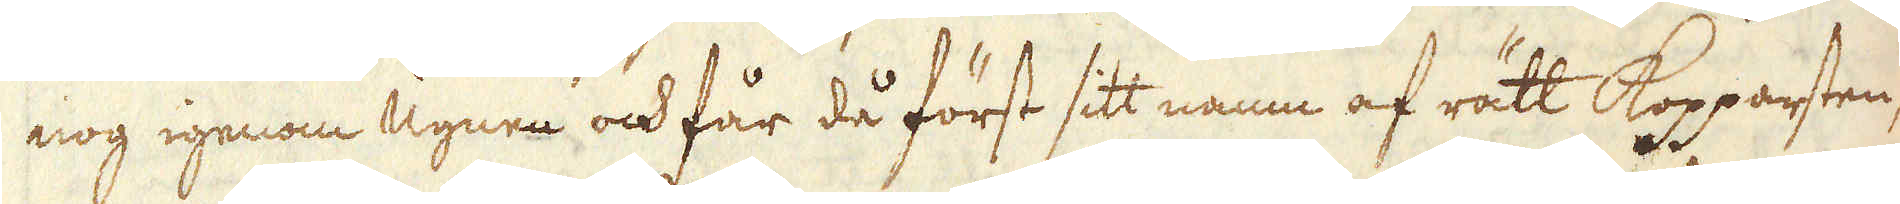nog igenom Ugnen och får då först sitt namn af rätt Kopparsten,
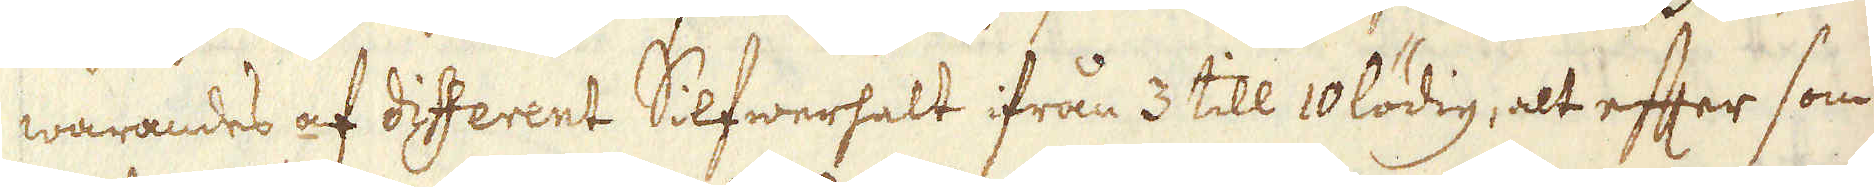warandes af different Silfwerhalt ifrån 3 till 10 lödig, alt efter som
